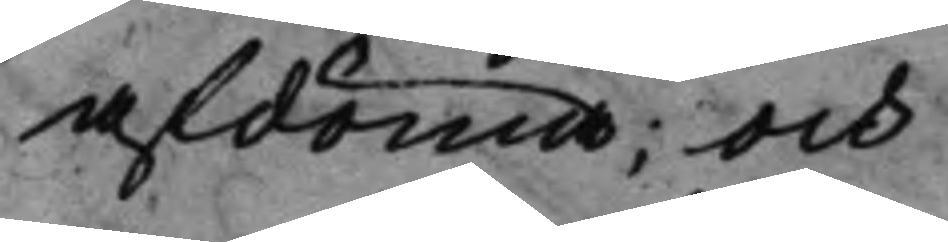afdöma; Och
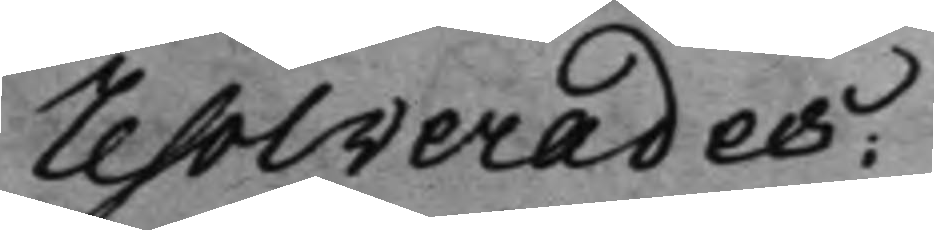Resolverades:
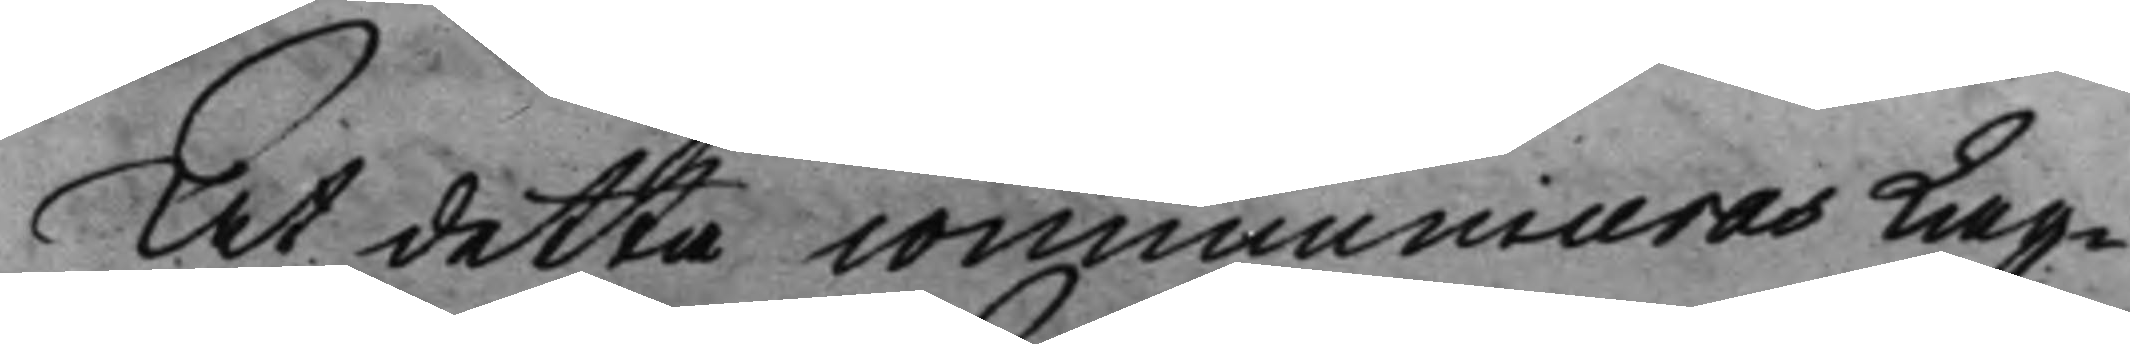At detta communiceras Lag¬
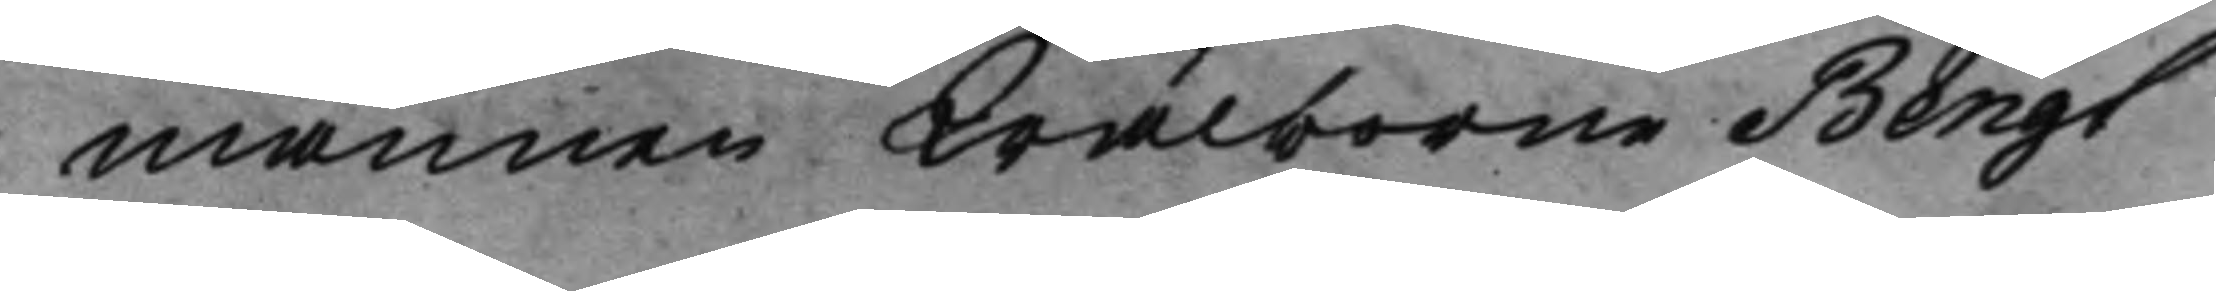mannen Wälborne Bengt
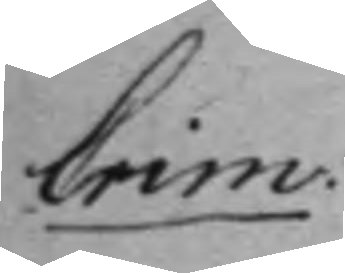Crim: 
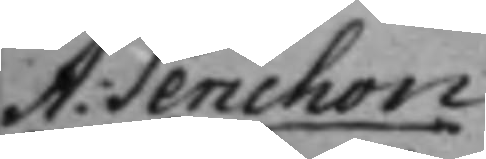A: Perichon 
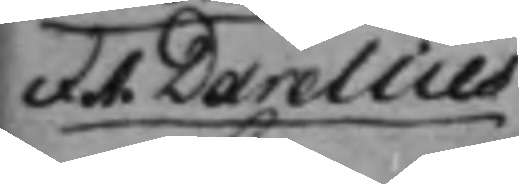et A. Darelius 
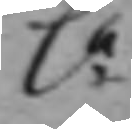C:a
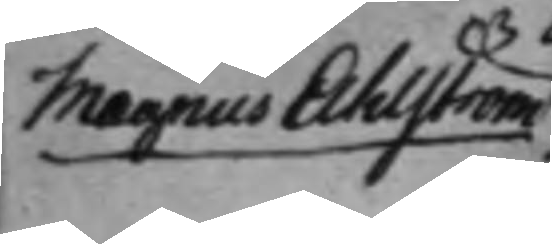Magnus Ahlström
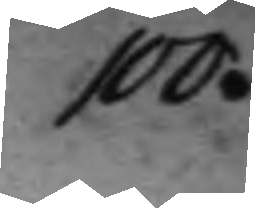100.
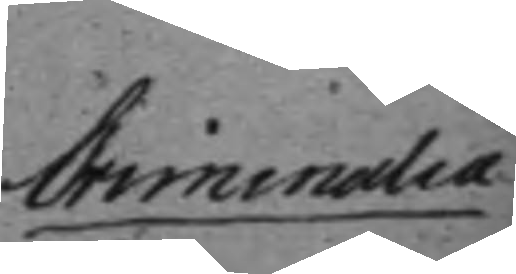Criminalia 
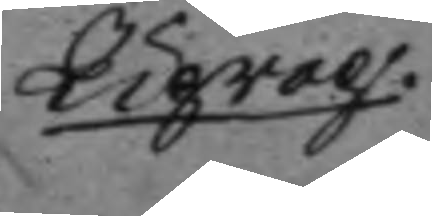Uprop.
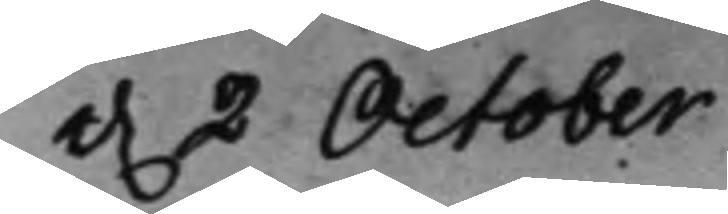d. 2 October 
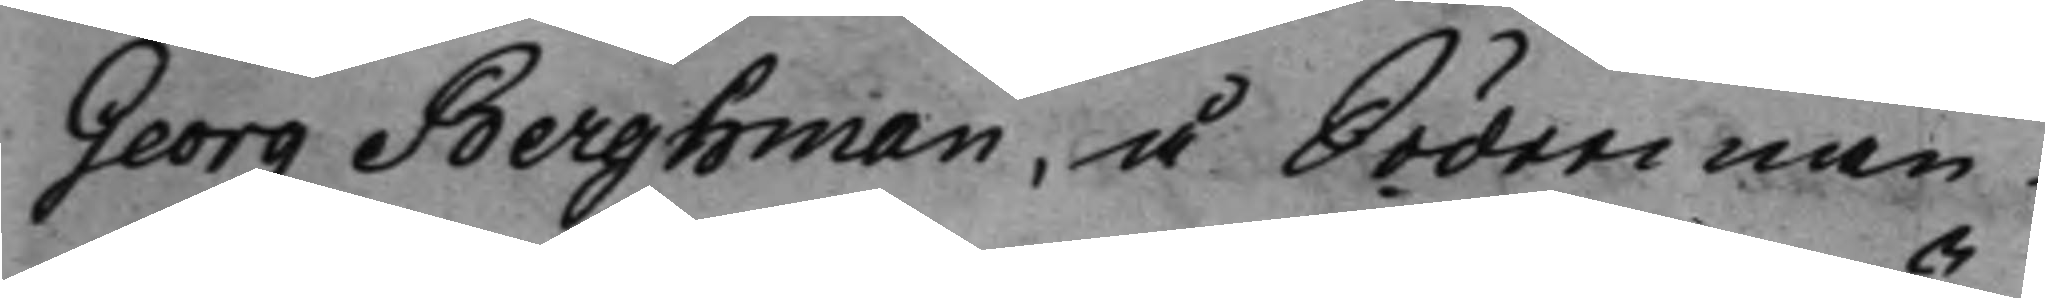Georg Berghman, å Söderman¬
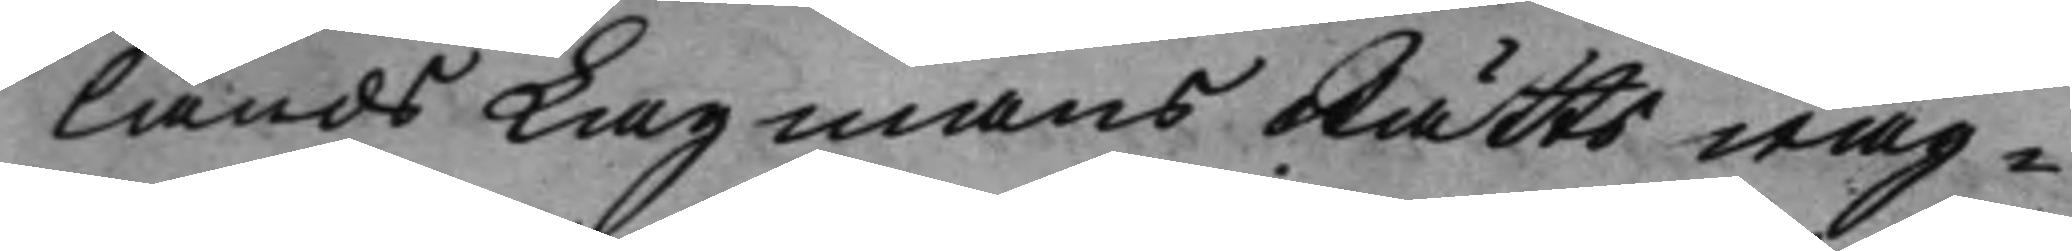lands LagmansRätts wäg¬
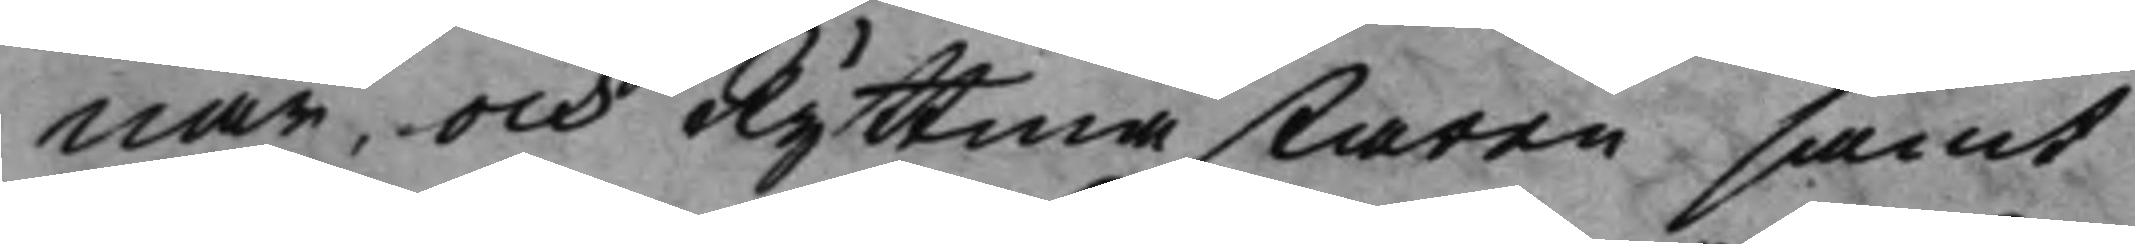nar, och Ryttmästaren samt
